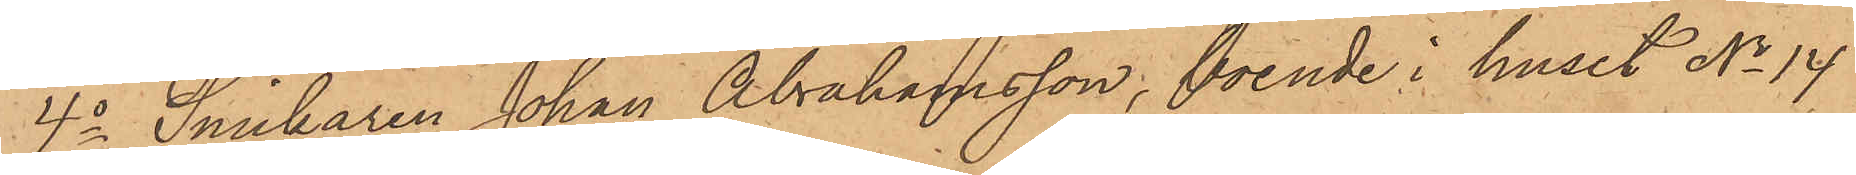4o Snickaren Johan Abrahamsson, boende i huset No 14
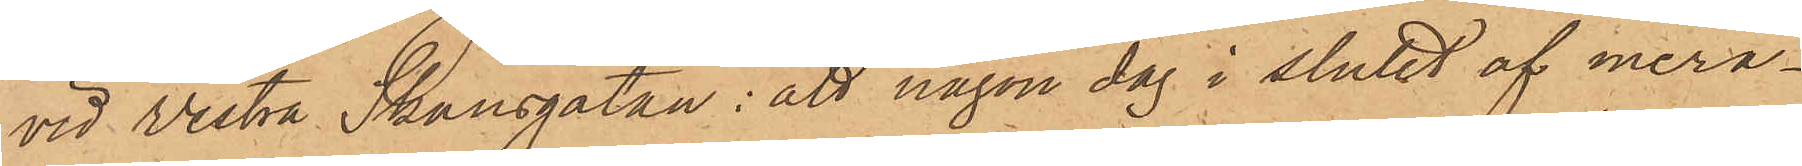vid Vestra Skansgatan: att någon dag i slutet af mera¬
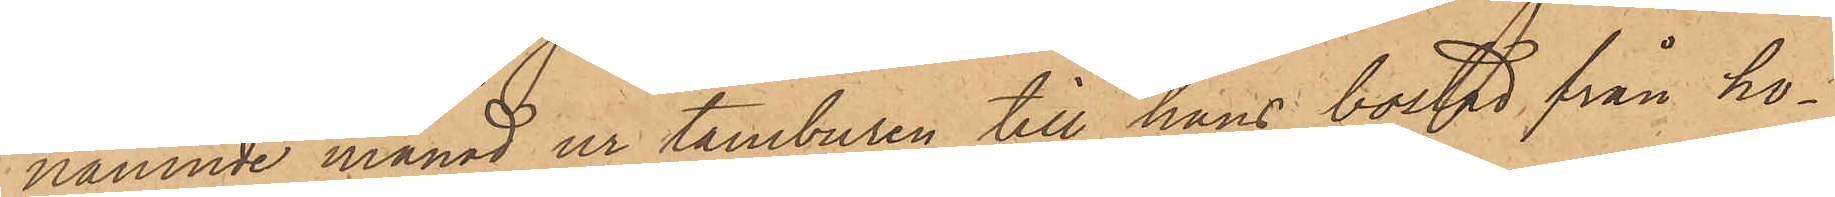nämnde månad ur tamburen till hans bostad från ho¬
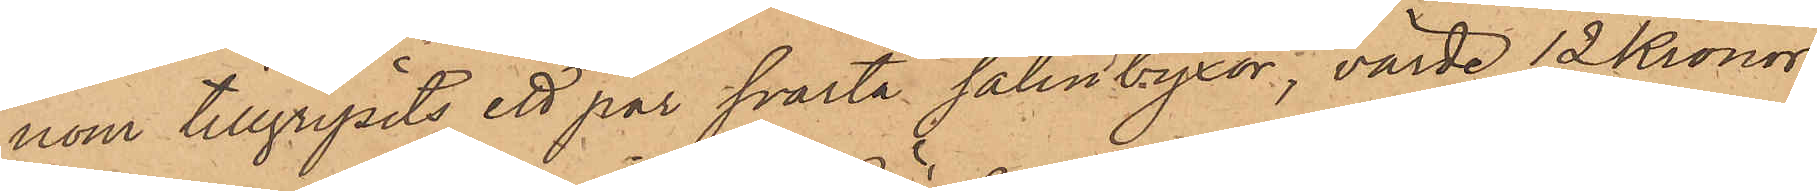nom tillgripits ett par svarta satinbyxor, värde 12 Kronor
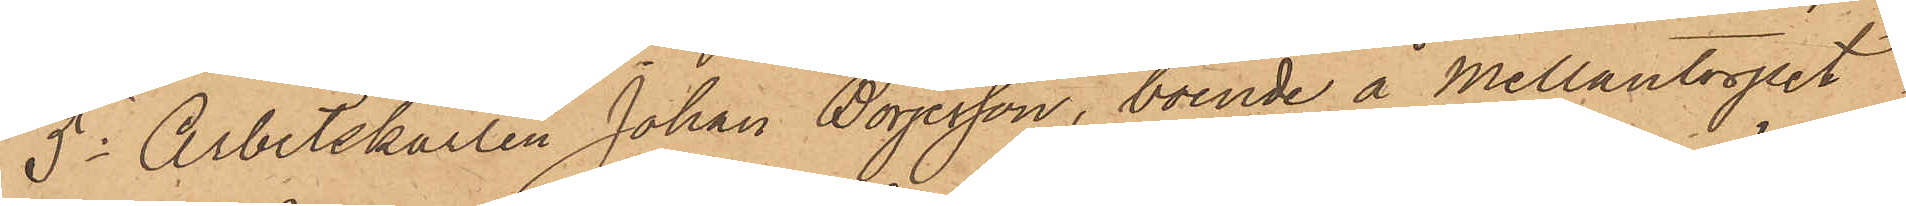5o Arbetskarlen Johan Börjesson, boende å Mellantorpet
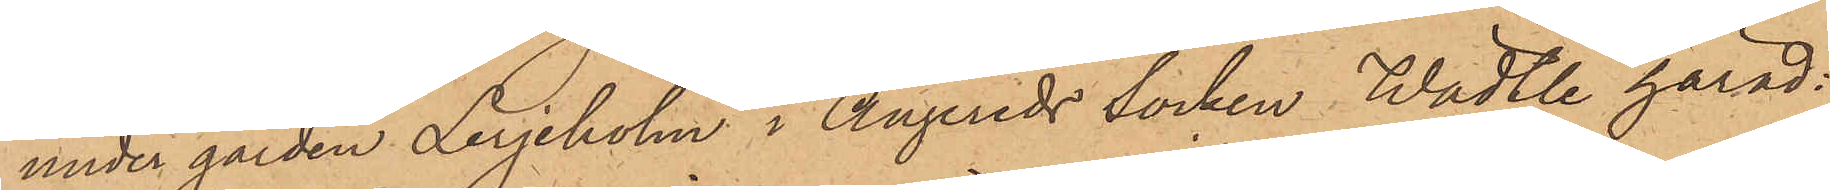under gården Lerjeholm i Angereds socken Wädtle härad:
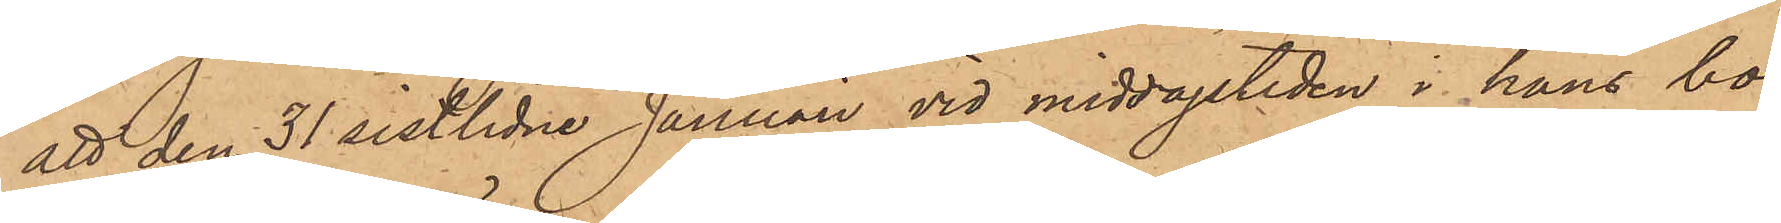att den 31 sistlidne Januari vid middagstiden i hans bo¬
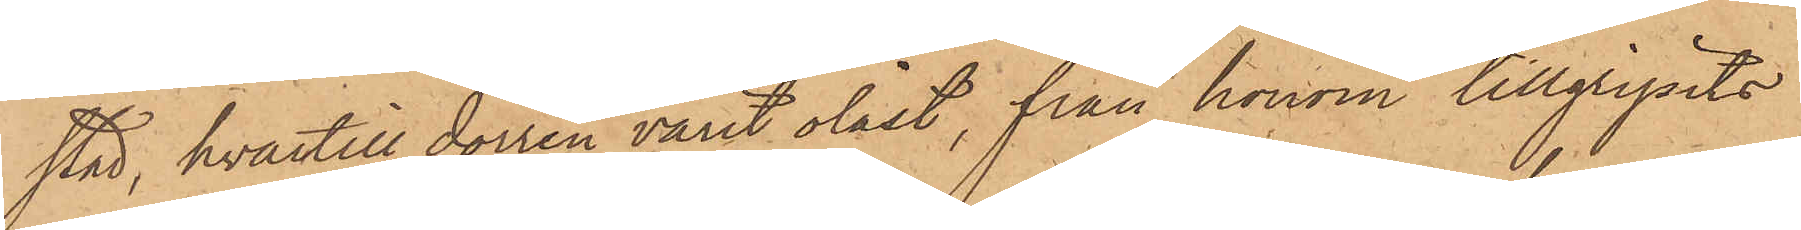stad, hvartill dörren varit olåst, från honom tillgripits
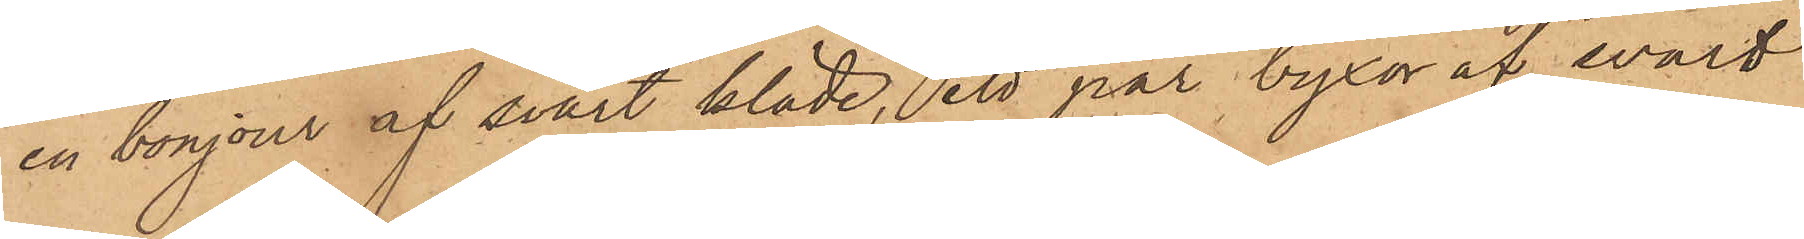en bonjour af svart kläde, ett par byxor af svart
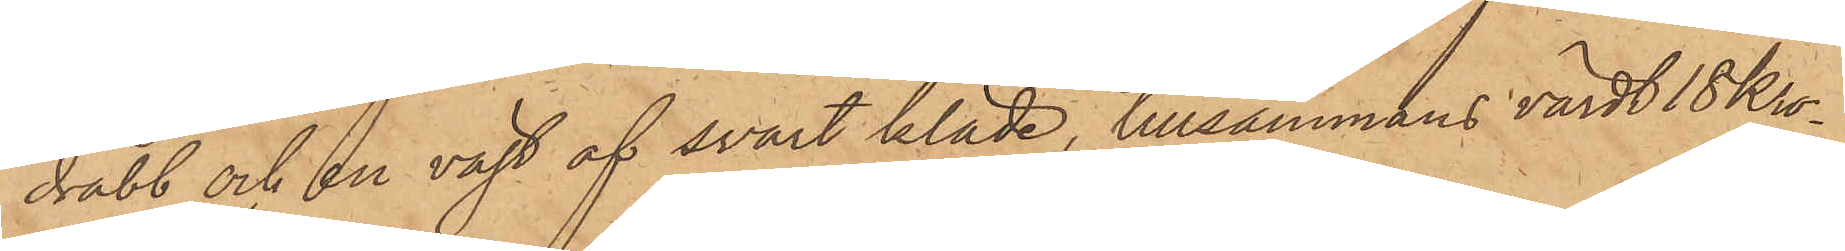drabb och en väst af svart kläde, tillsammans värdt 18 Kro¬
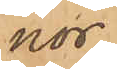nor;
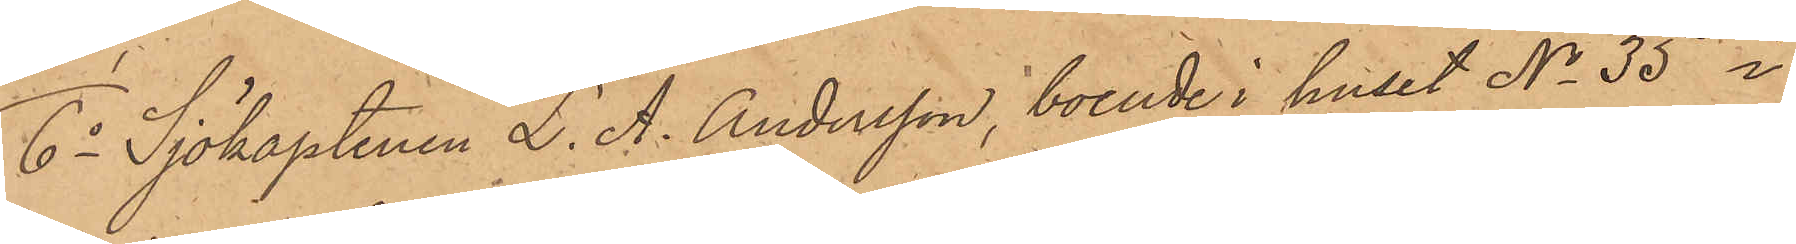6o Sjökaptenen L. A. Andersson, boende i huset No 35 i
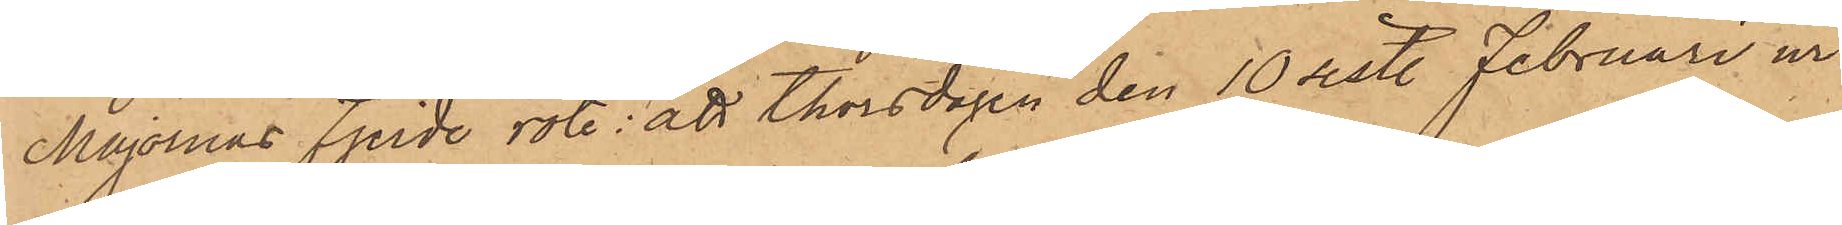Majornas fjerde rote; att Thorsdagen den 10 sistl. Februari ur
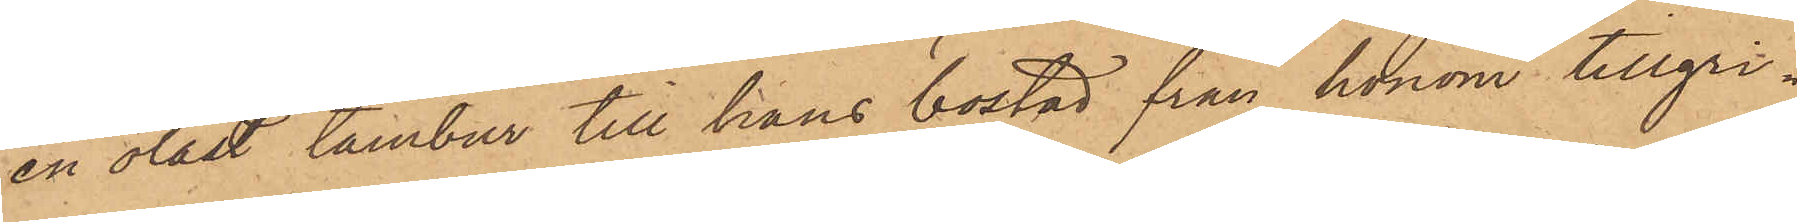en olåst tambur till hans bostad från honom tillgri¬
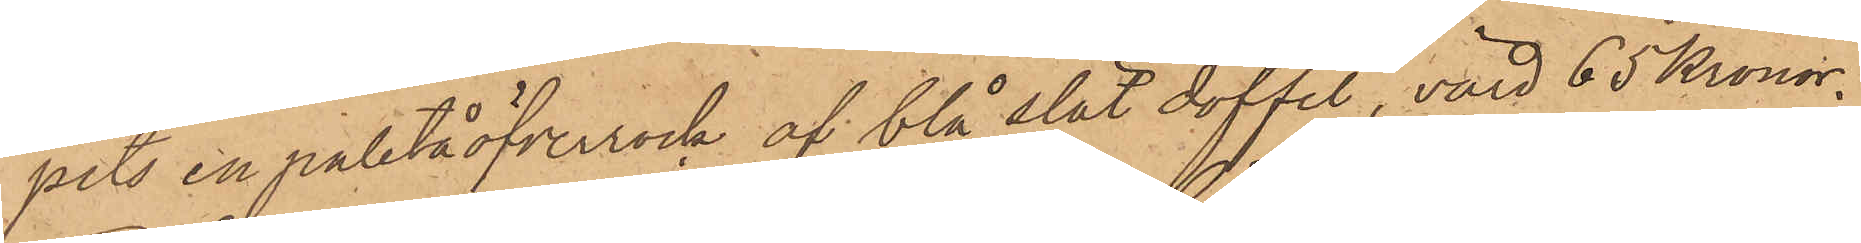pits en paletåöfverrock af blå slät doffel, värd 65 Kronor;
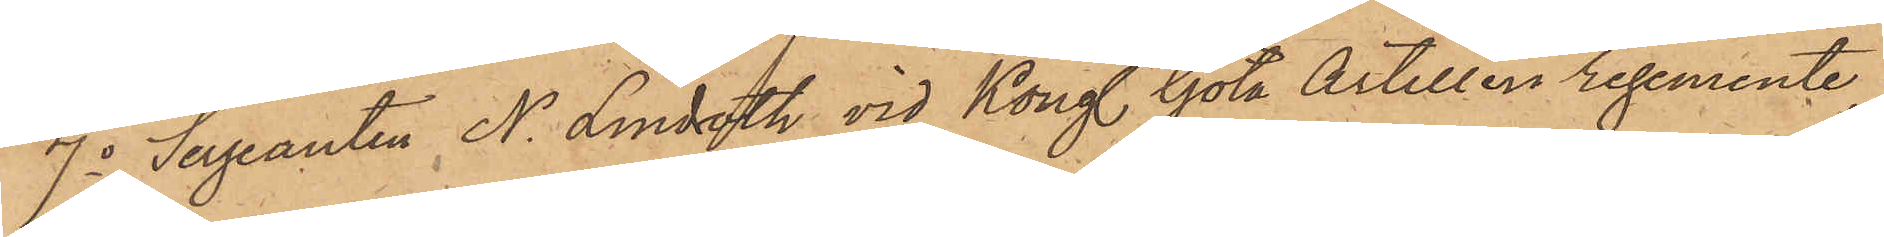7o Sergeanten N. Lindroth vid Kongl. Göta Artilleri regemente
